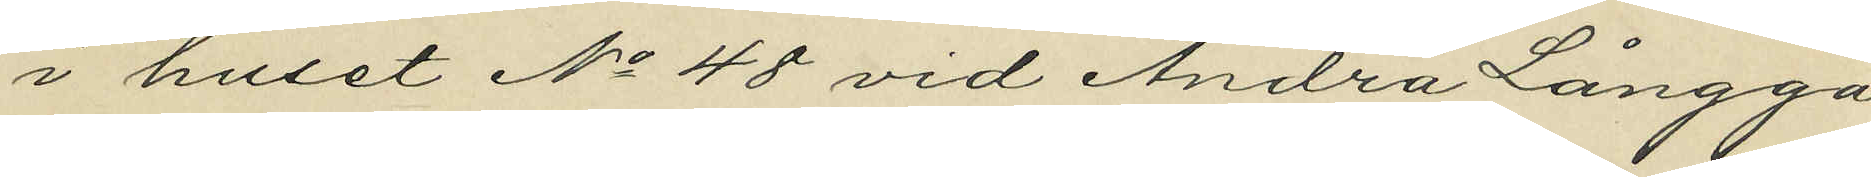i huset No 48 vid Andra Långga¬
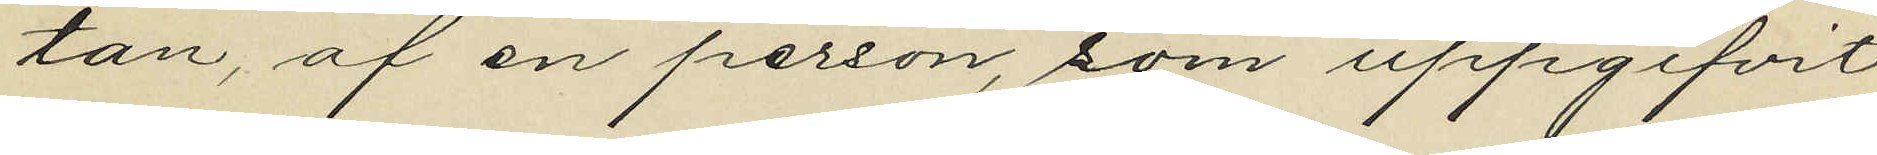tan, af en person, som uppgifvit
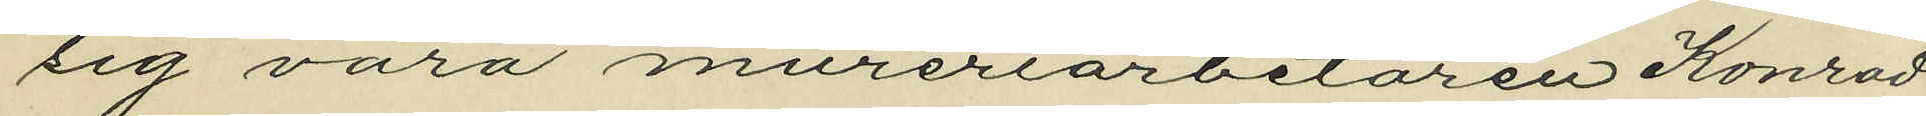sig vara mureriarbetaren Konrad
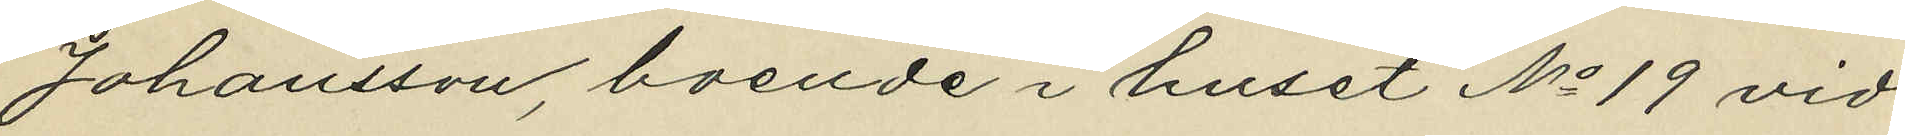Johansson, boende i huset No 19 vid
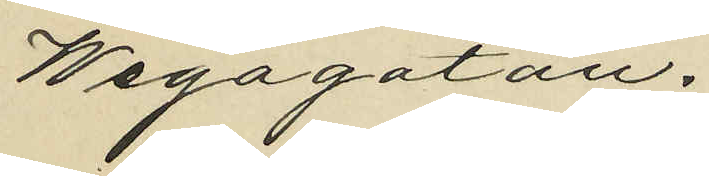Wegagatan.
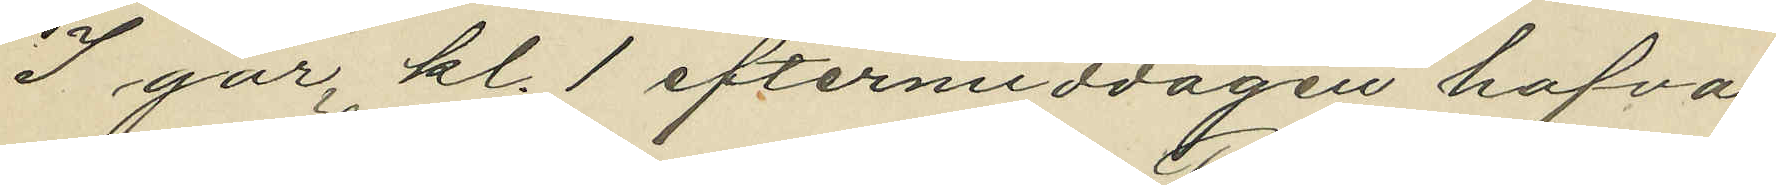I går, kl. 1 eftermiddagen hafva
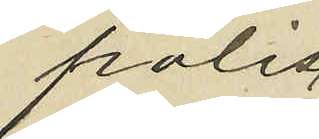polis¬
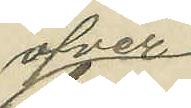öfver¬
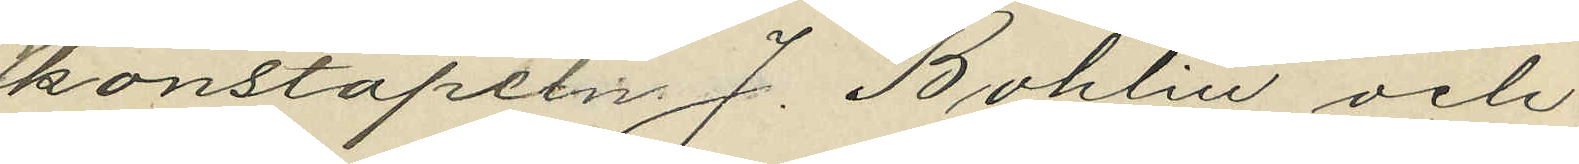konstapeln J. Bohlin och
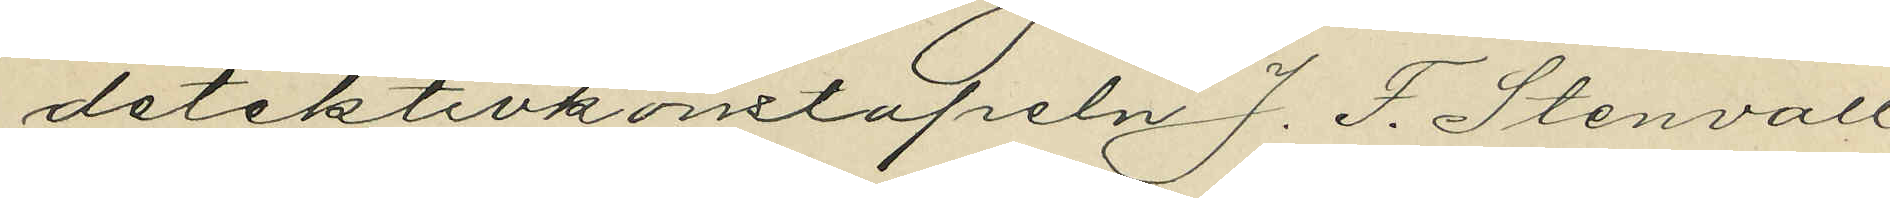detektivkonstapeln J. F. Stenvall
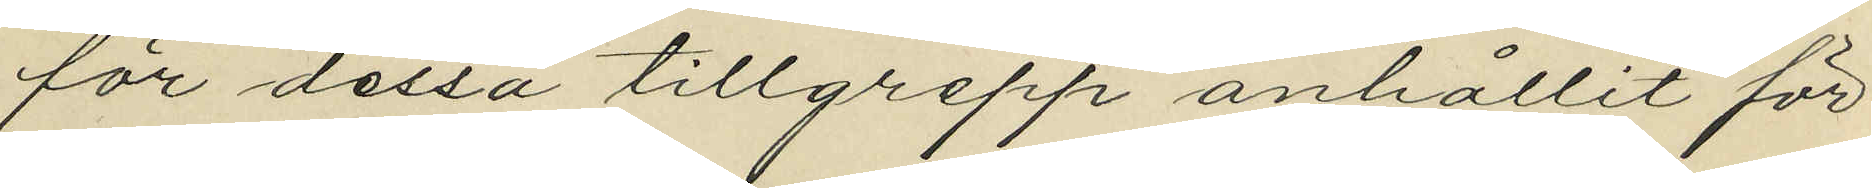för dessa tillgrepp anhållit för
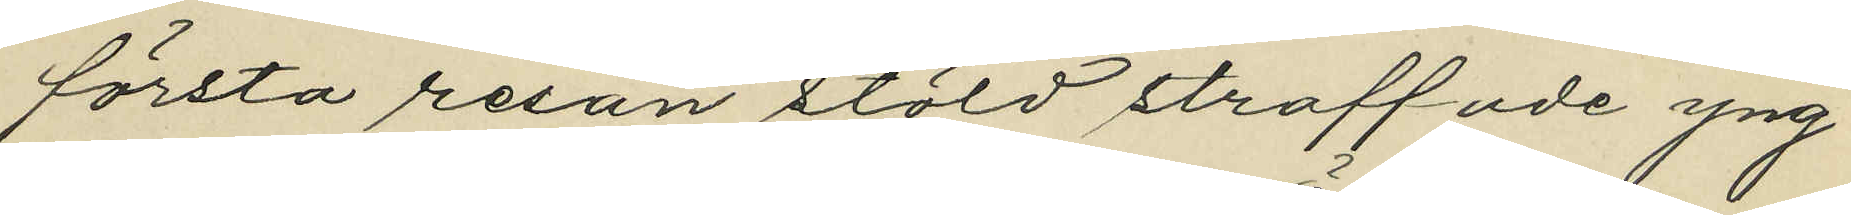första resan stöld straffade yng¬
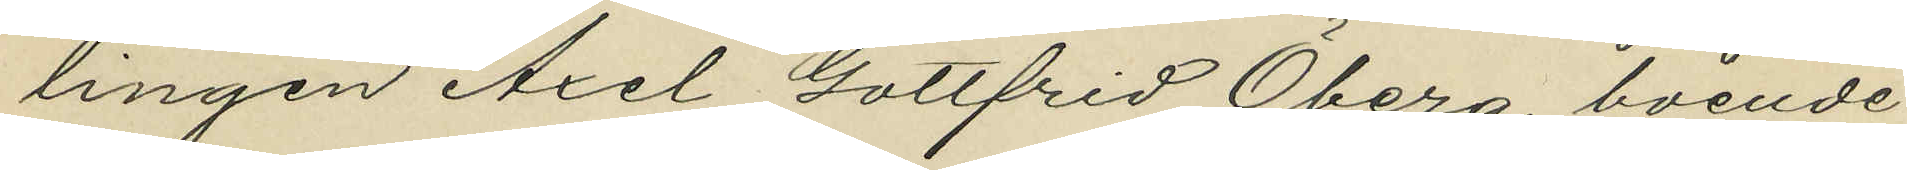lingen Axel Gottfrid Öberg, boende
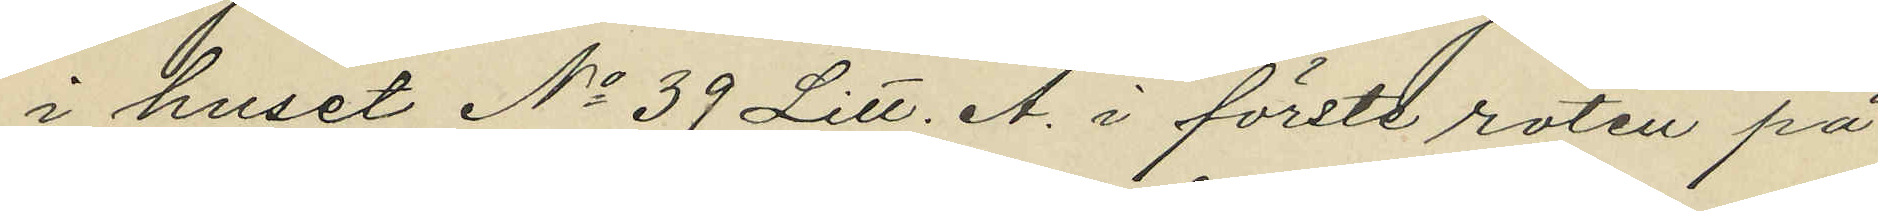i huset No 39 Litt. A. i förste roten på
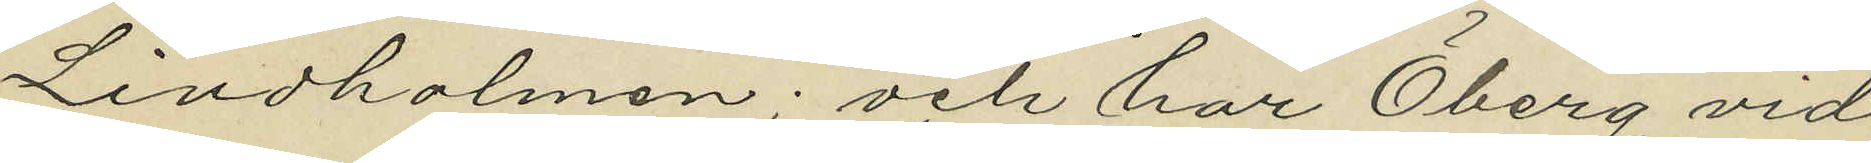Lindholmen; och har Öberg vid
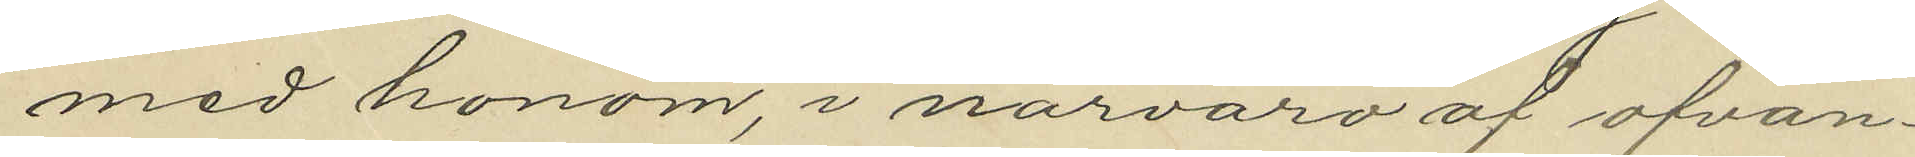med honom, i närvaro af ofvan¬
